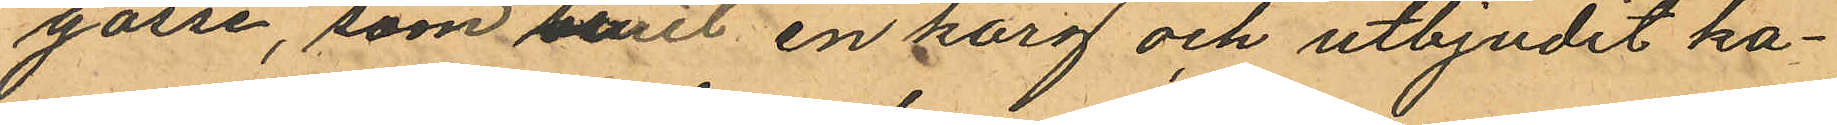gosse, som burit en korg och utbjudit ka¬
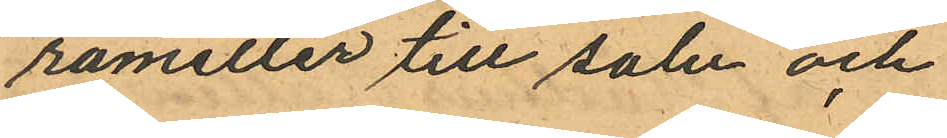rameller till salu och
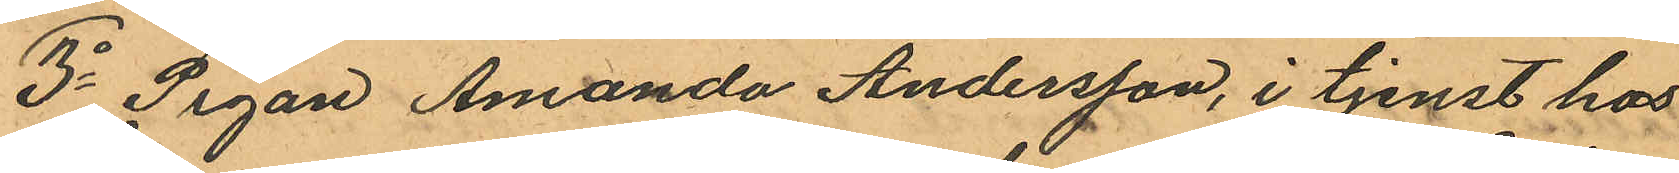3o Pigan Amanda Andersson, i tjenst hos
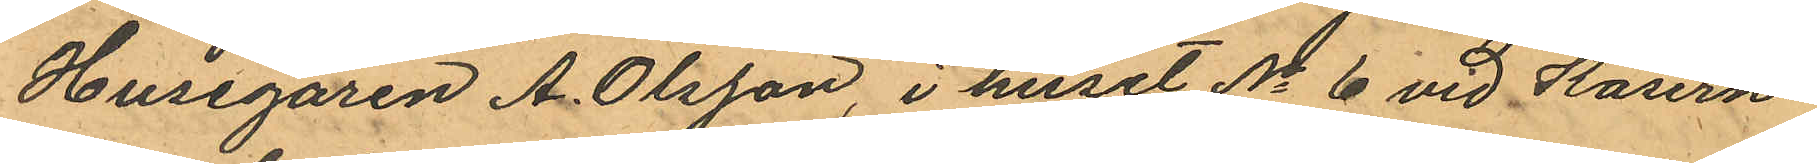Husegaren A. Olsson i huset No 6 vid Kasern¬
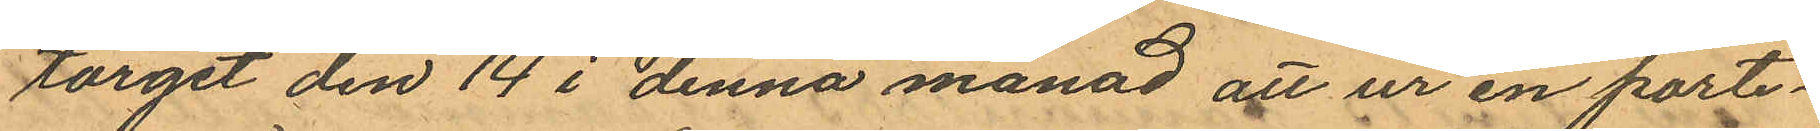torget den 14 i denna månad att ur en porte¬
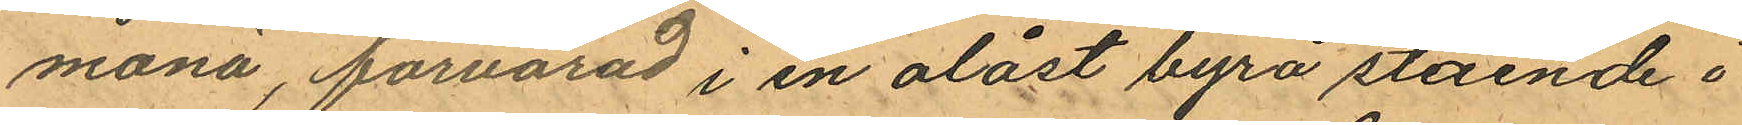monä, forvarad i en olåst byrå stående i
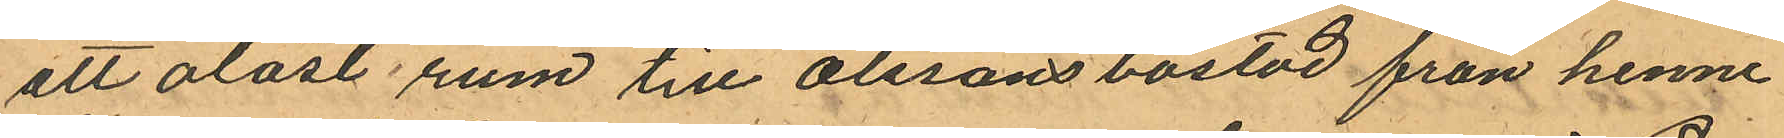att olåst rum till Olssons bostad från henne
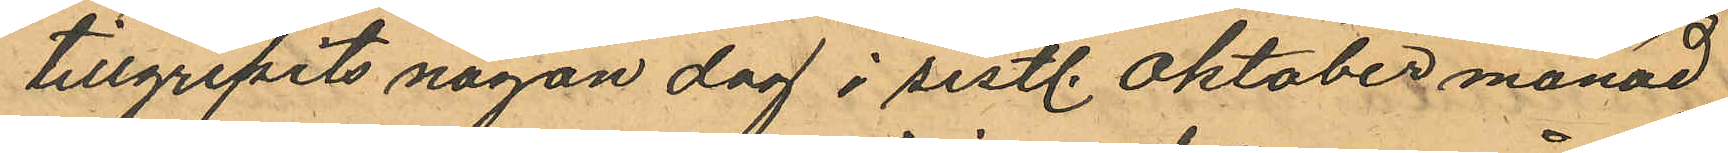tillgripits någon dag i sistl. Oktober månad
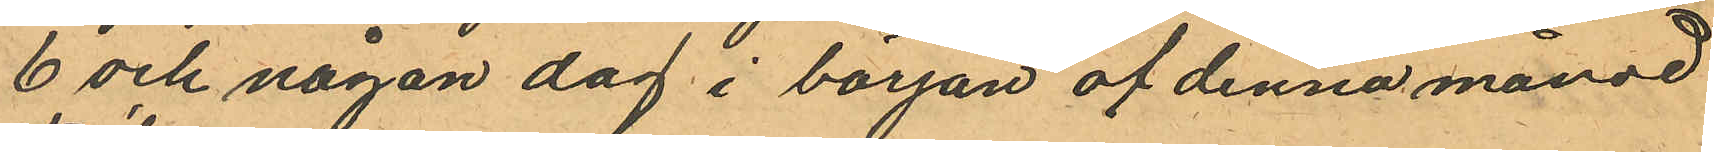6 och någon dag i början af denna månad
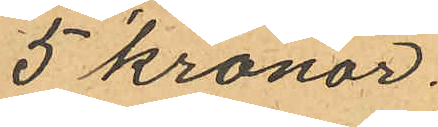5 kronor.
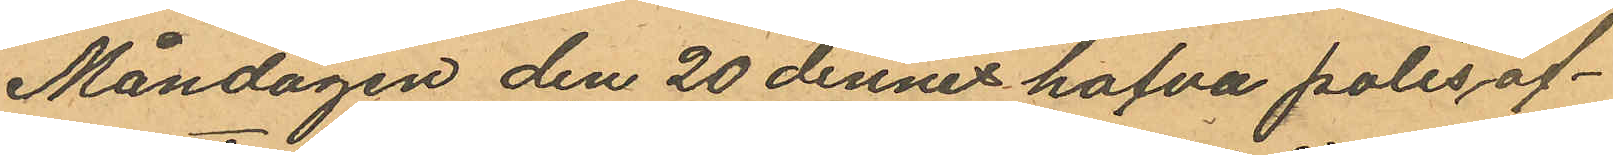Måndagen den 20 dennes hafva polisöf¬
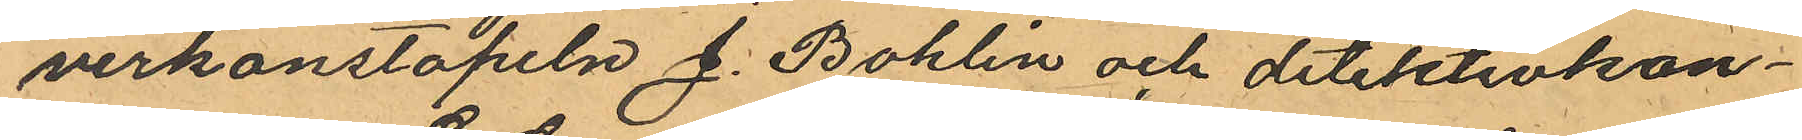verkonstapeln J. Bohlin och detektivkon¬
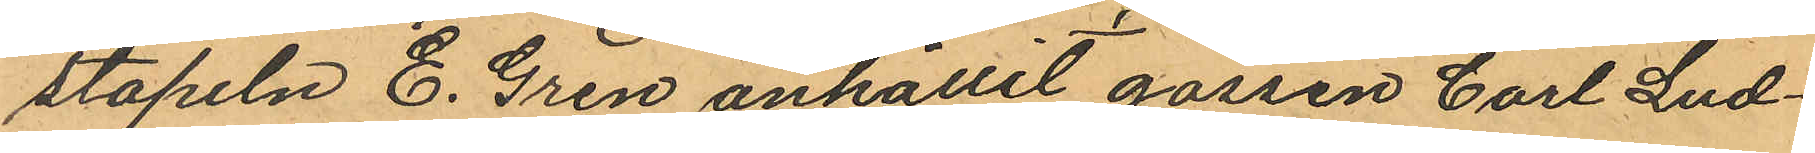stapeln E. Gren anhållit gossen Carl Lud¬
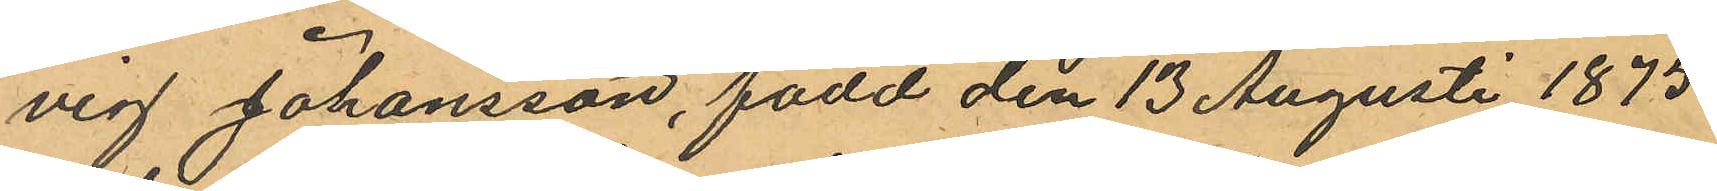vig Johansson, född den 13 Augusti 1875
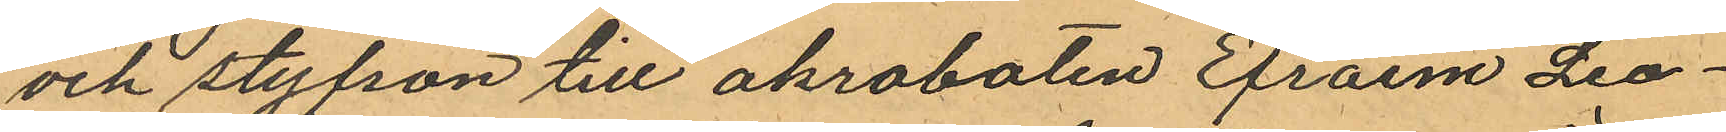och styfson till akrobaten Efraim Leo¬
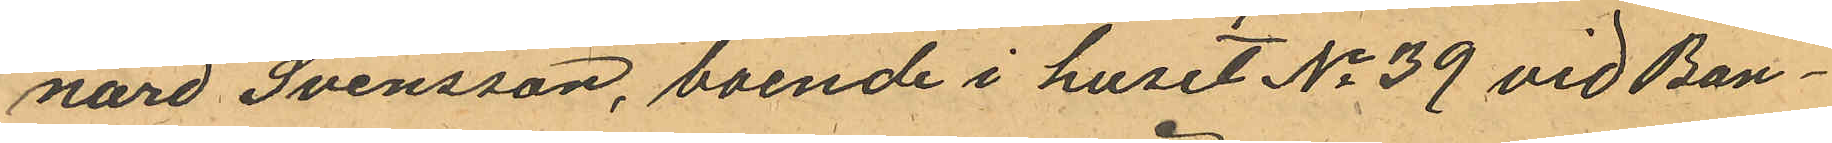nard Svensson, boende i huset No 39 vid Ban¬
